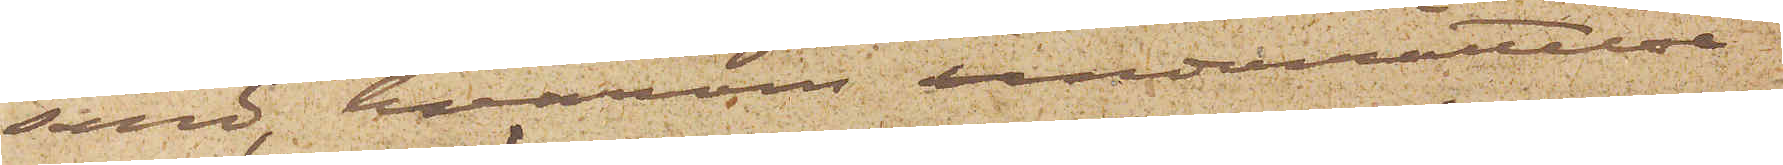sänd, hvarom underrättelse
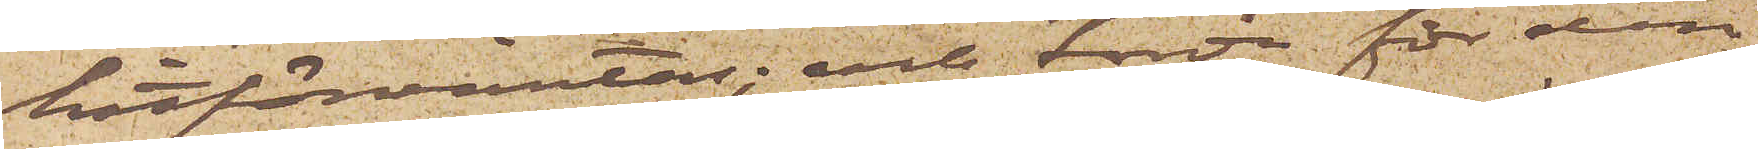hitförväntas; och torde för den
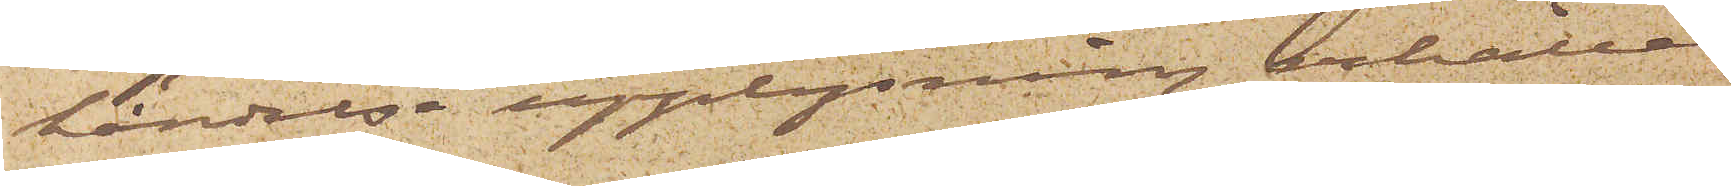händelse upplysning erhållas
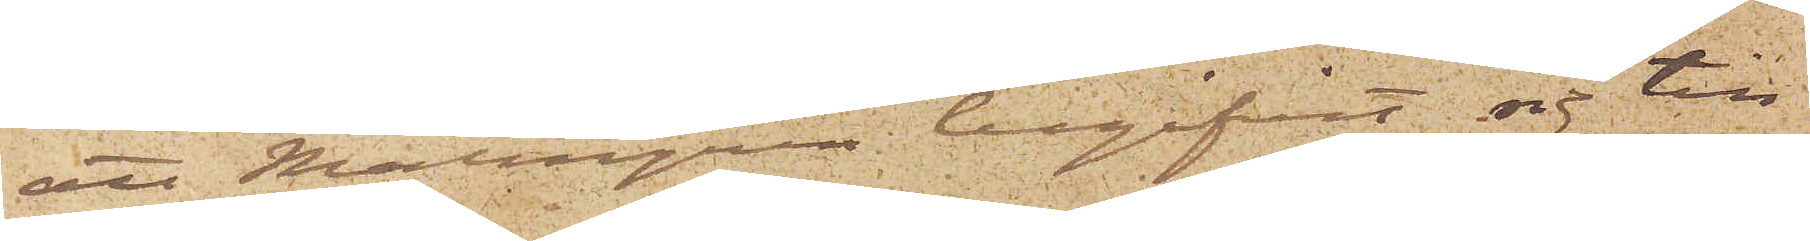att Malmgren begifvit sig till
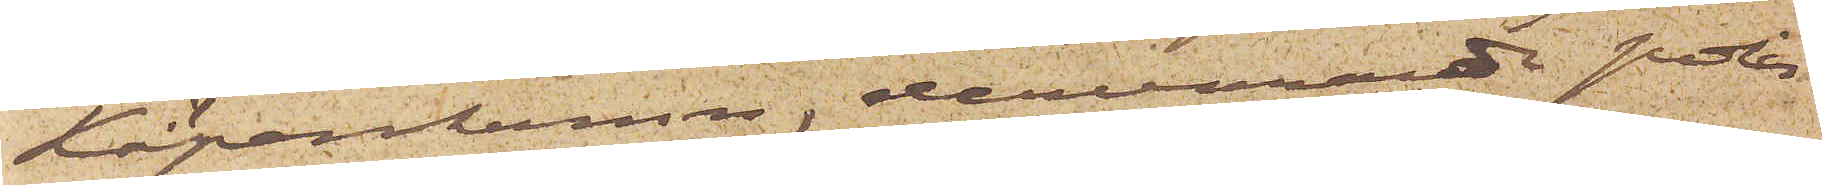Köpenhamn, dervarande polis
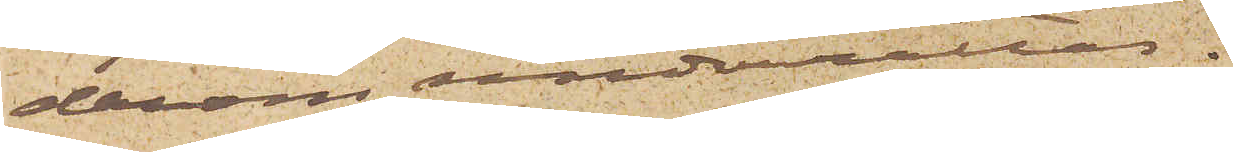derom underrättas.
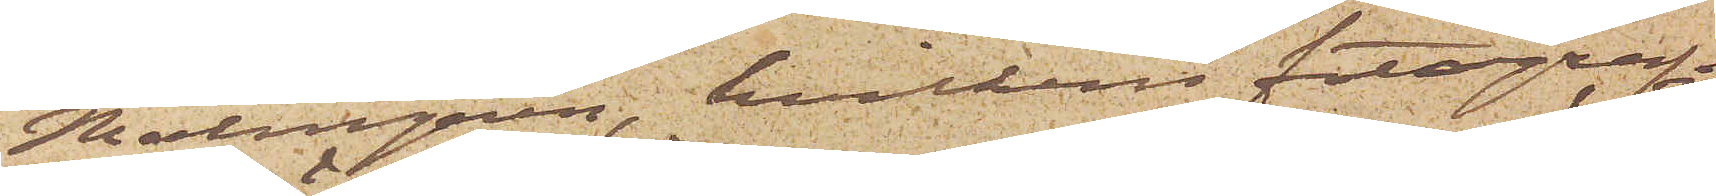Malmgren, hvilkens fotografi¬
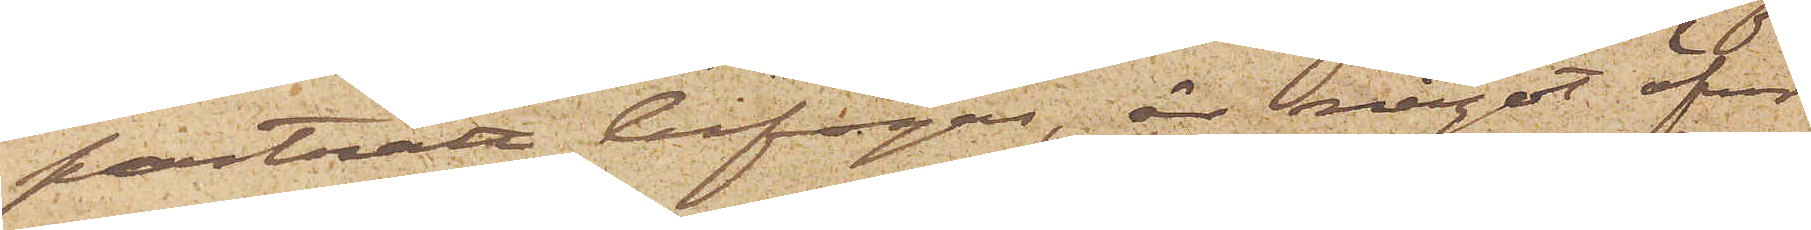porträtt bifogas, är något öfver
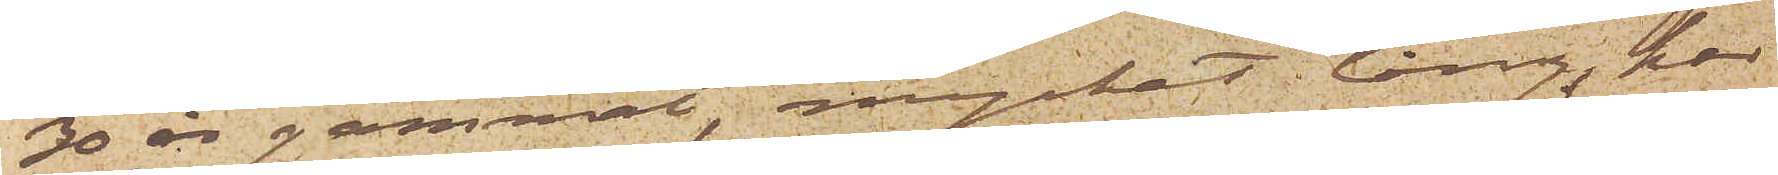30 år gammal, mycket lång, har
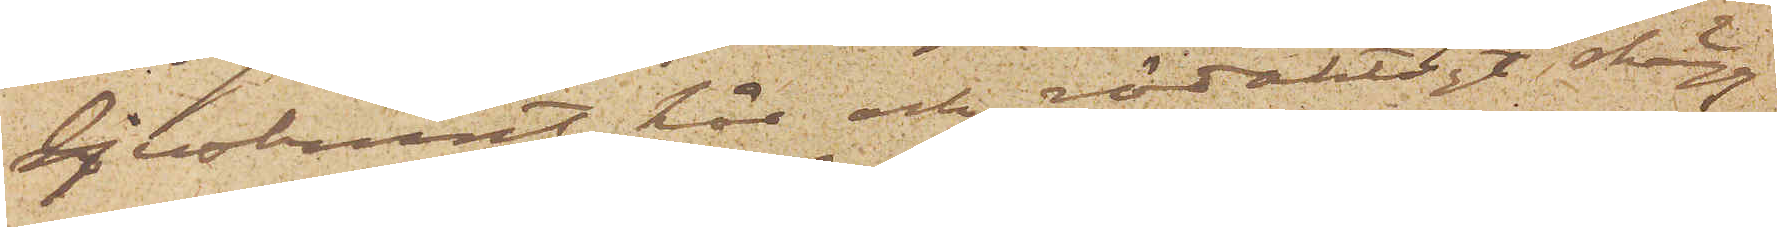ljusbrunt hår och rödaktigt skägg
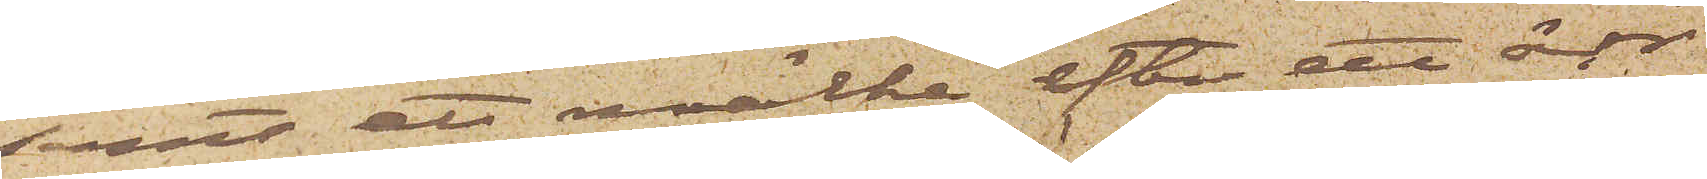samt ett märke efter ett ärr
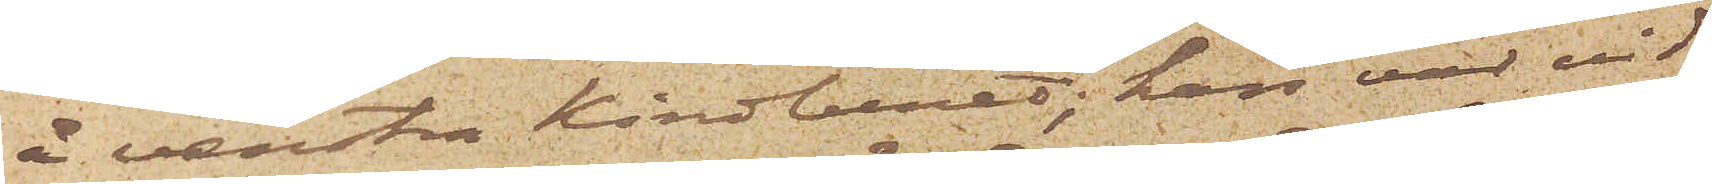å venstra kindbenet; han var vid
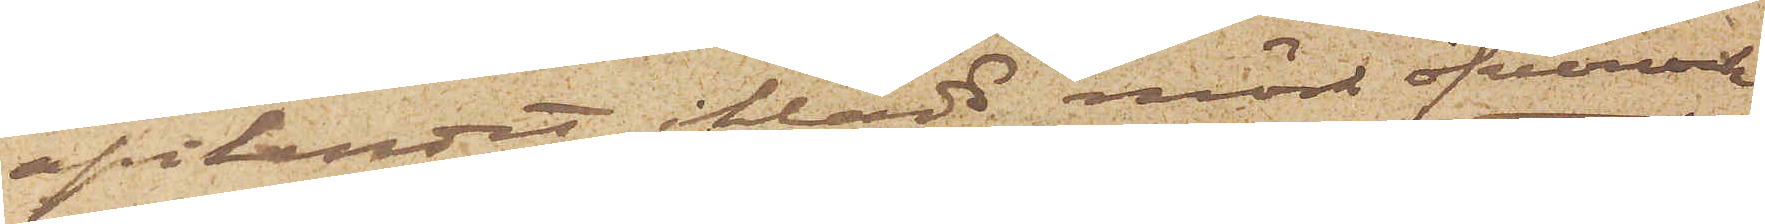afvikandet iklädd mörk öfverrock
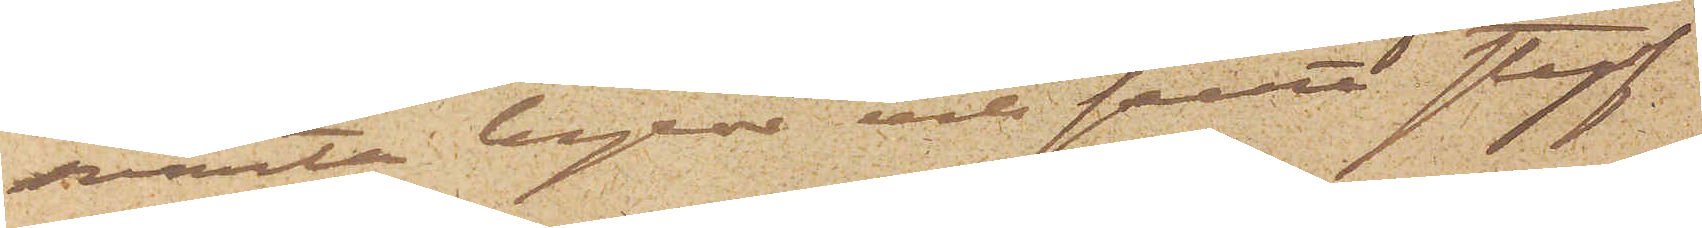svarta byxor och svart styf
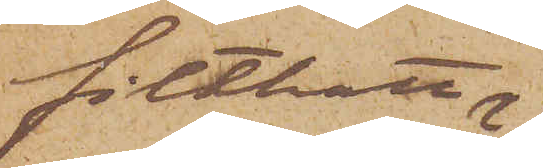filthatt
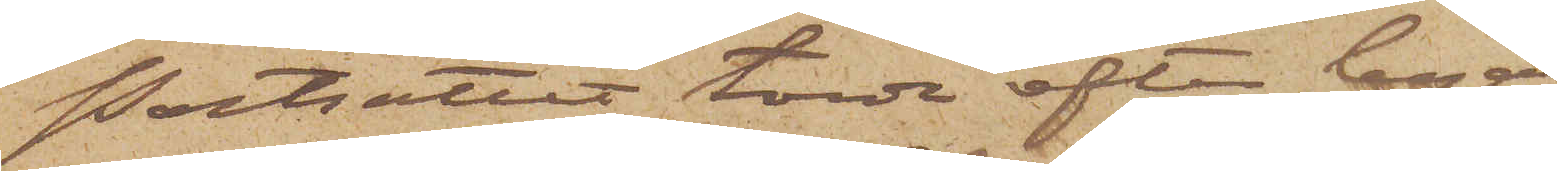Porträttet torde efter begagnan¬
